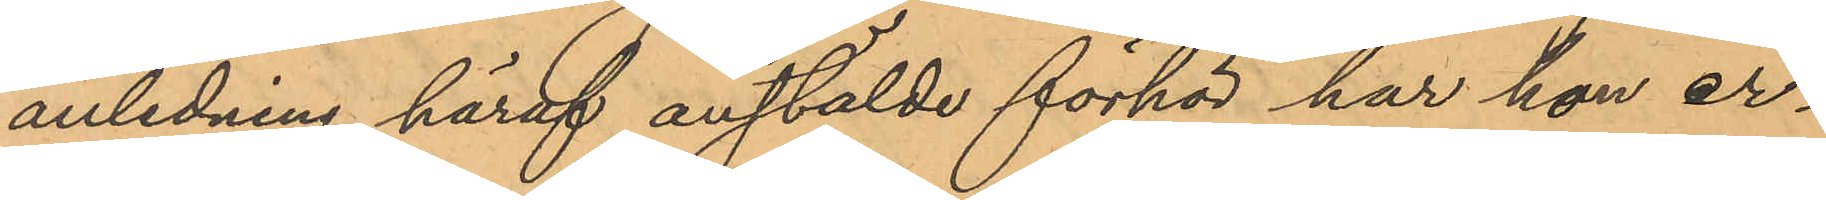anledning häraf anstälde förhör har hon er¬
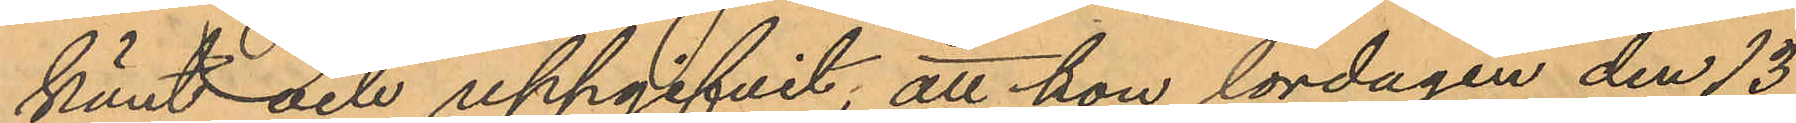känt och uppgifvit, att hon lördagen den 13
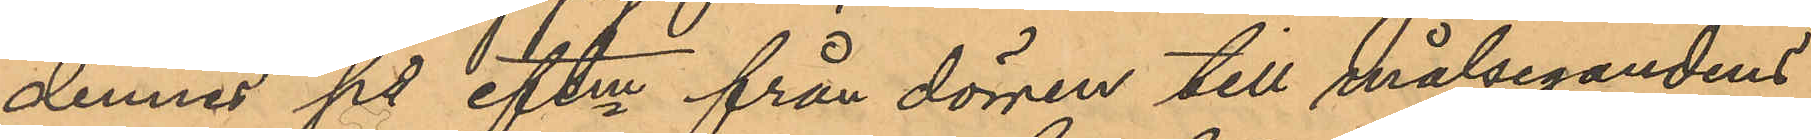dennes på eftm från dörren till målsegandens
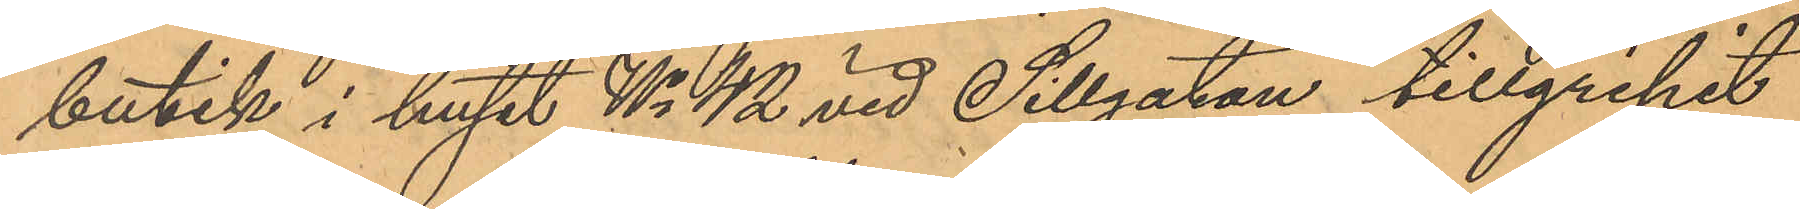butik i huset No 42 vid Sillgatan tillgripit
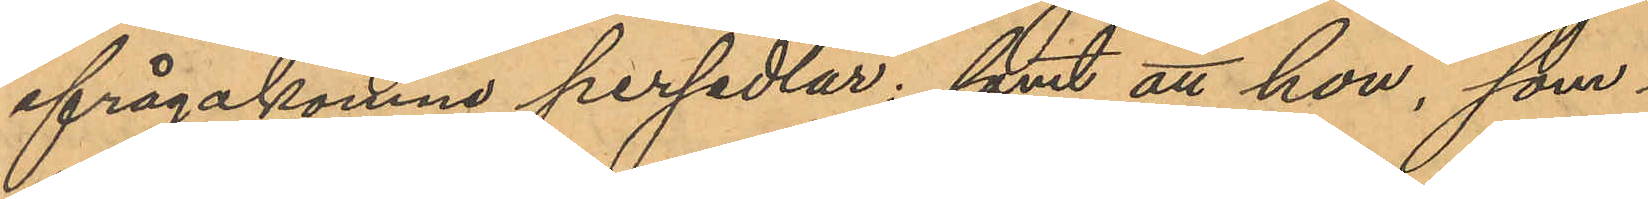ifrågakomne persedlar; samt att hon, som
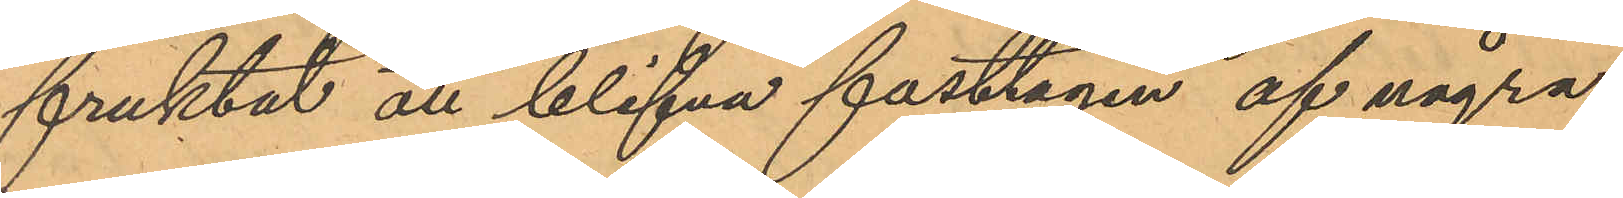fruktat atl blifva fasttagen af några
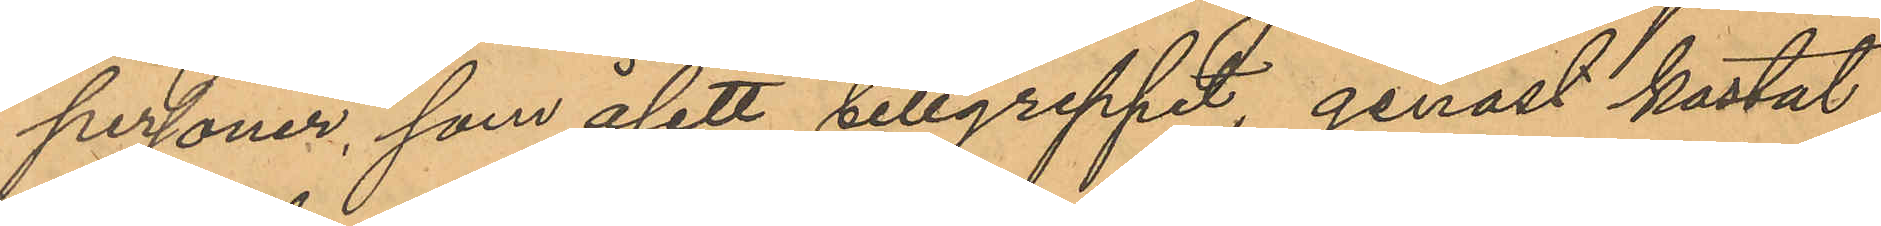personer, som åsett tillgreppet, genast kastat
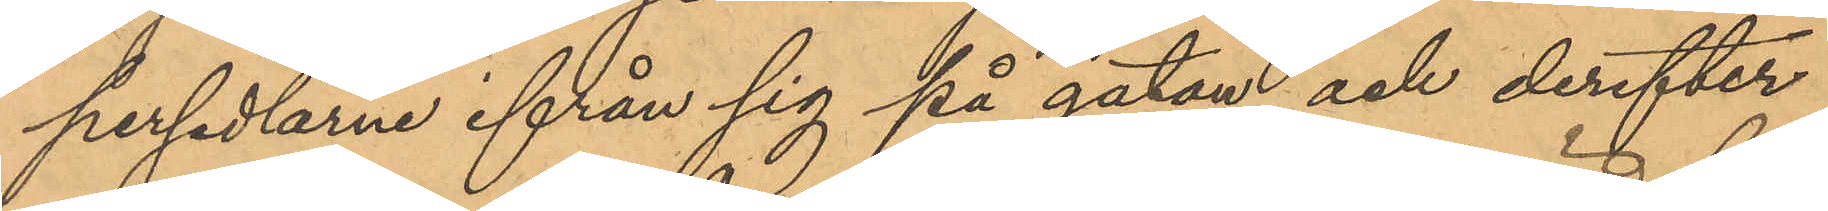persedlarne ifrån sig på gatan och derefter
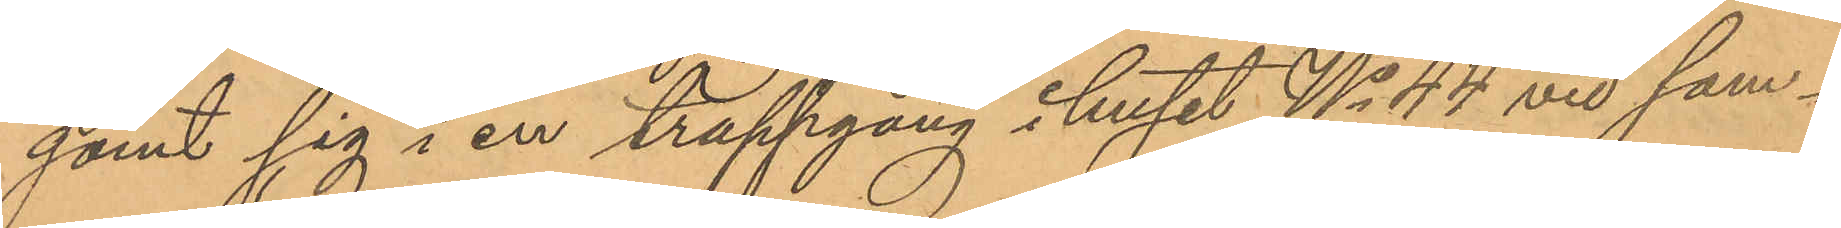gömt sig i en trappgång i huset No 44 vid sam¬
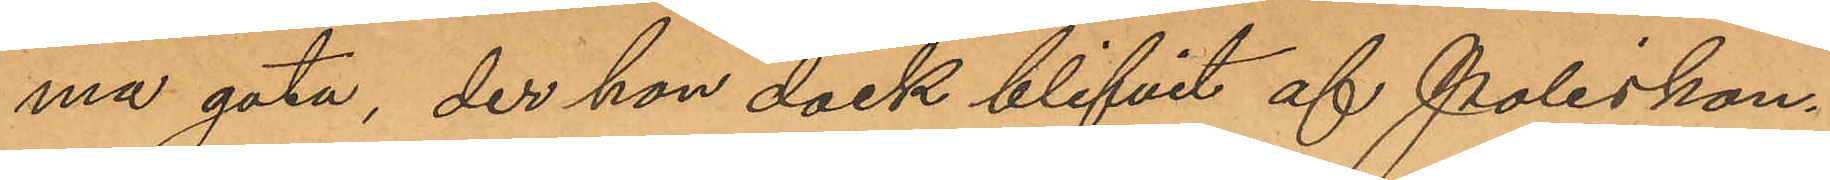ma gata, der hon dock blifvit af Poliskon¬
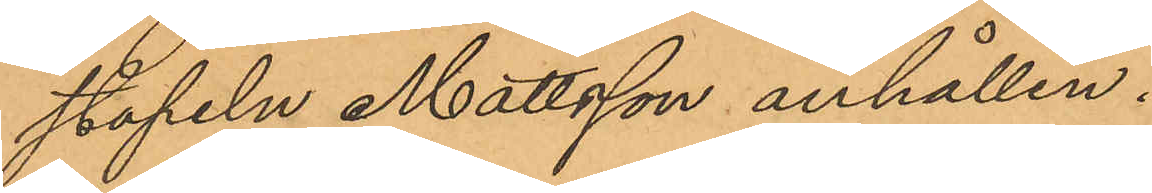stapeln Mattsson anhållen.
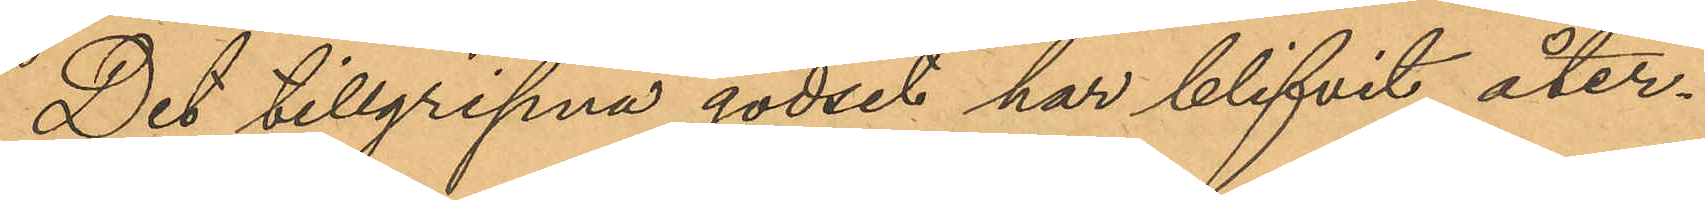Det tillgripna godset har blifvit åter¬
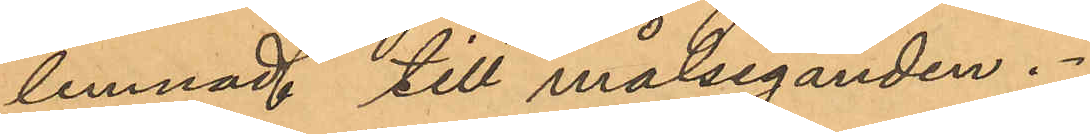lemnad till målseganden.
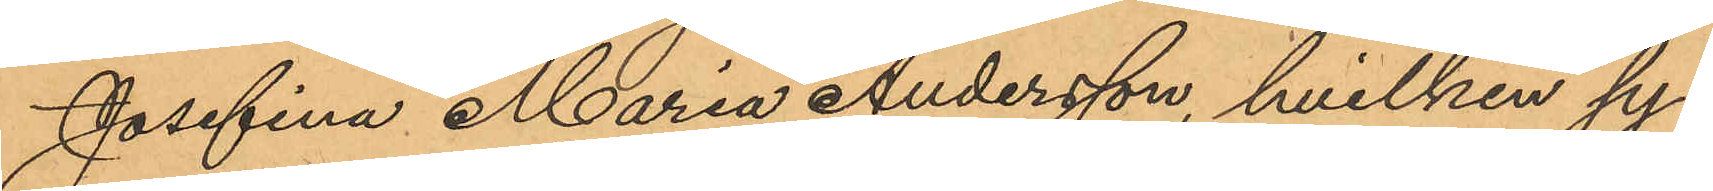Josefina Maria Andersson, hvilken sy¬
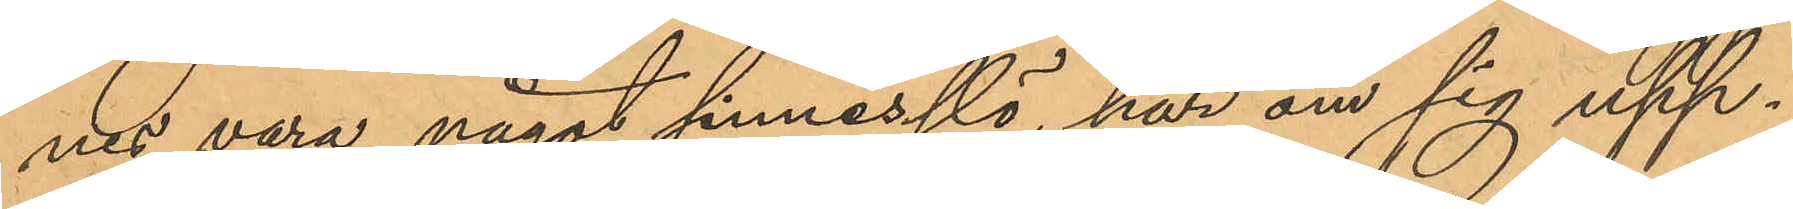nes vara något sinnesslö, har om sig upp¬
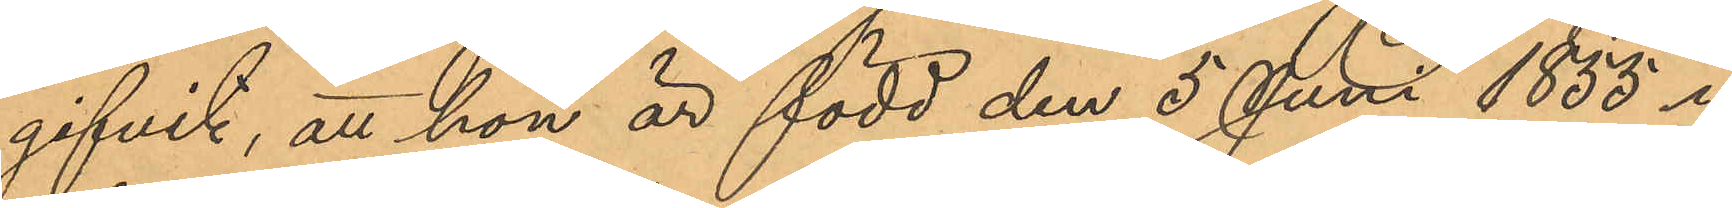gifvit, att hon är född den 5 Juni 1855 i
